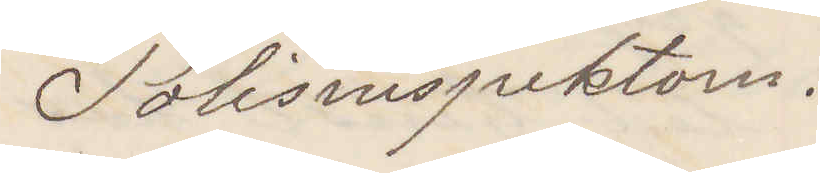Polisinspektorn.
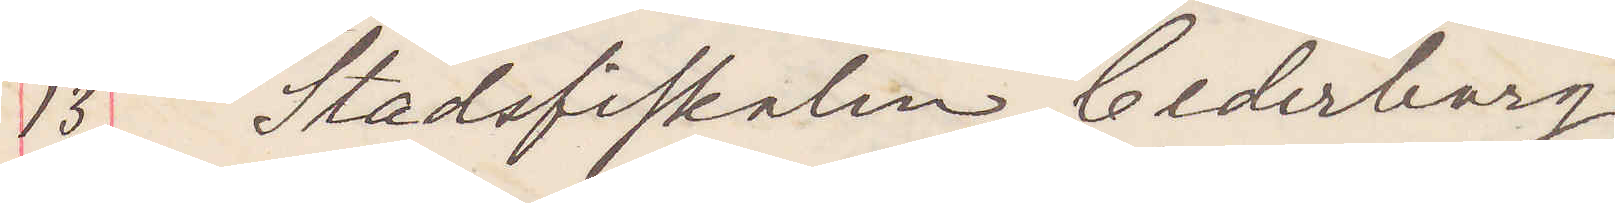13 Stadsfiskalen Cederborg.
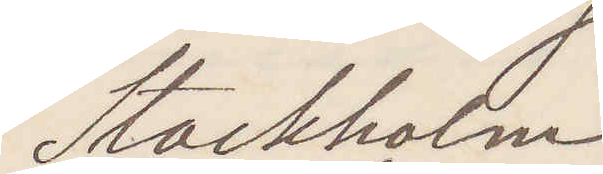Stockholm.
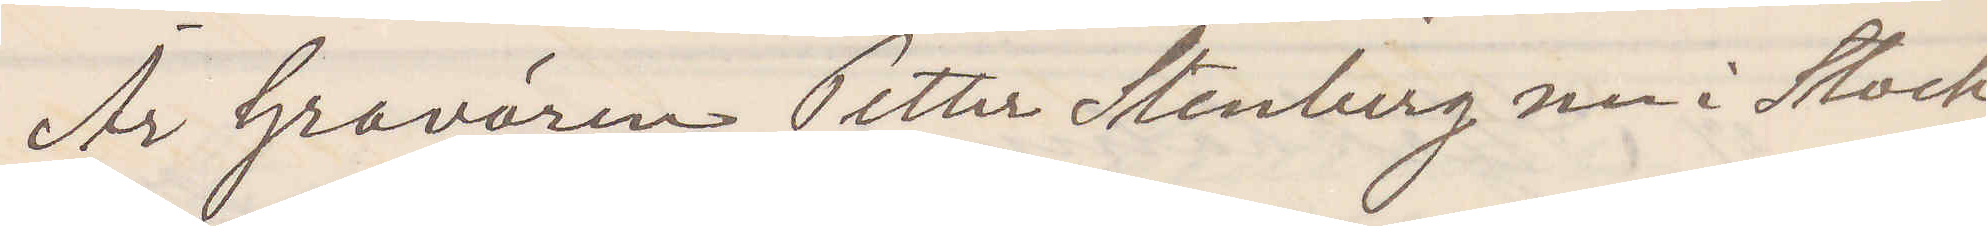Är Gravören Petter Stenberg nu i Stock¬
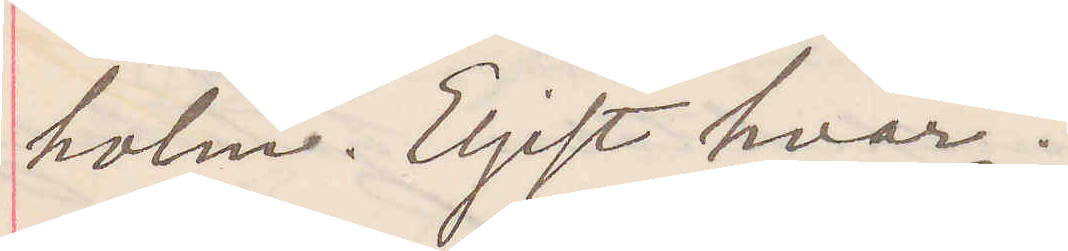holm. Eljest hvar?
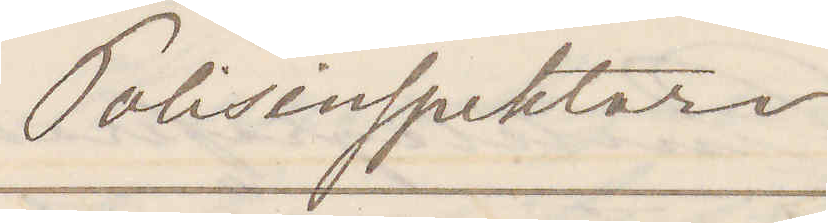Polisinspektorn.
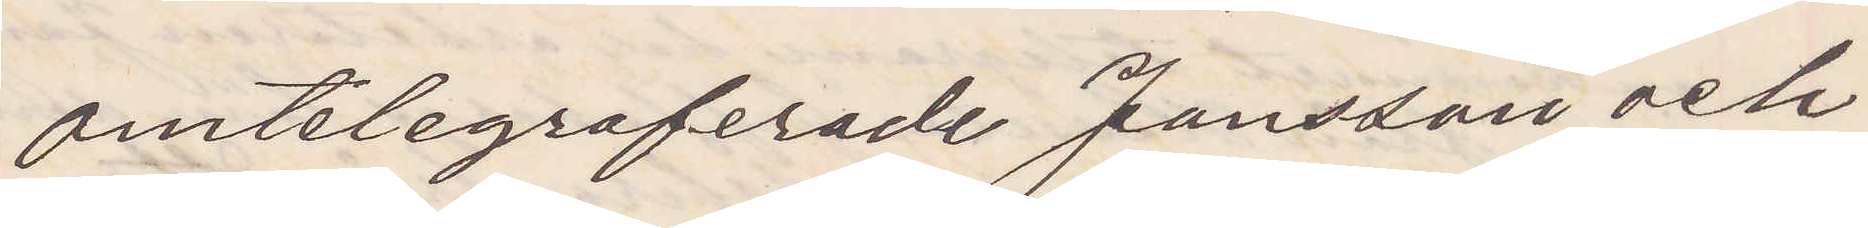omtelegraferade Jansson och
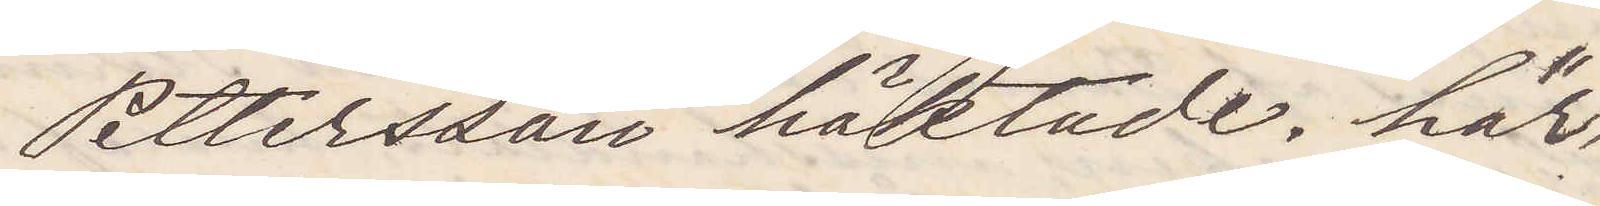Pettersson häktade. här
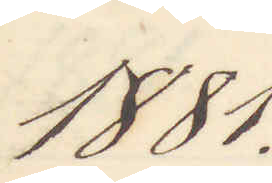1881.
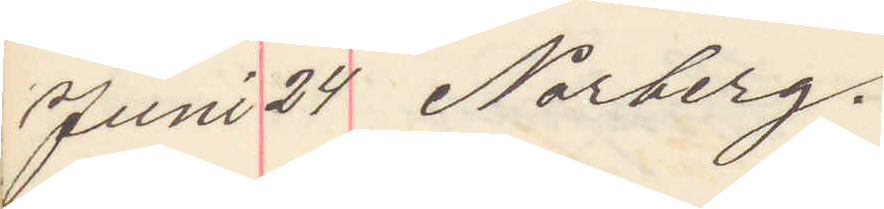Juni 24 Norberg.
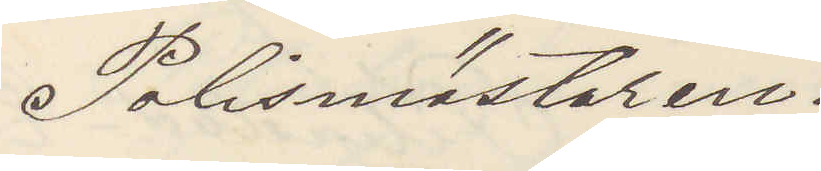Polismästaren.
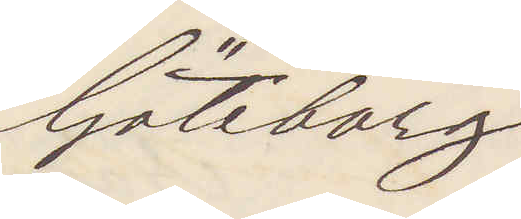Göteborg
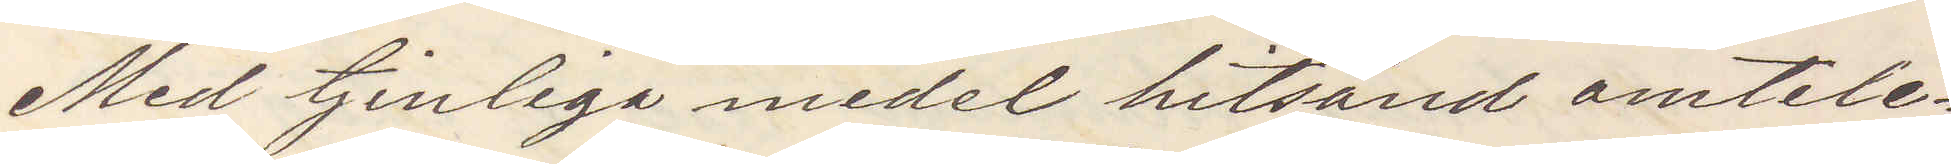Med tjenliga medel hitsänd omtele¬
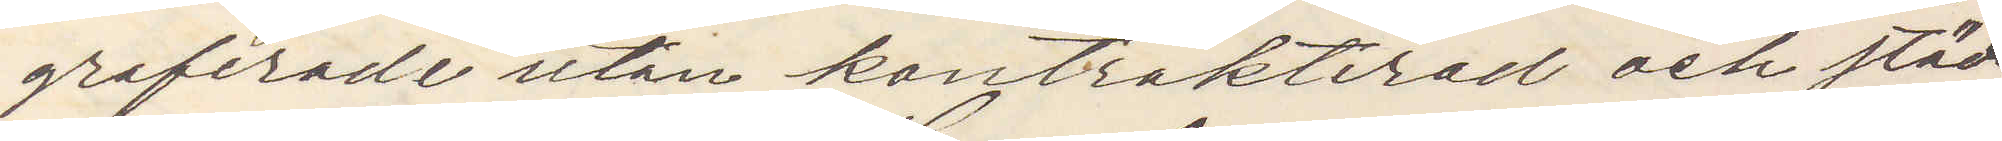graferade utan kontrakterad och städs¬
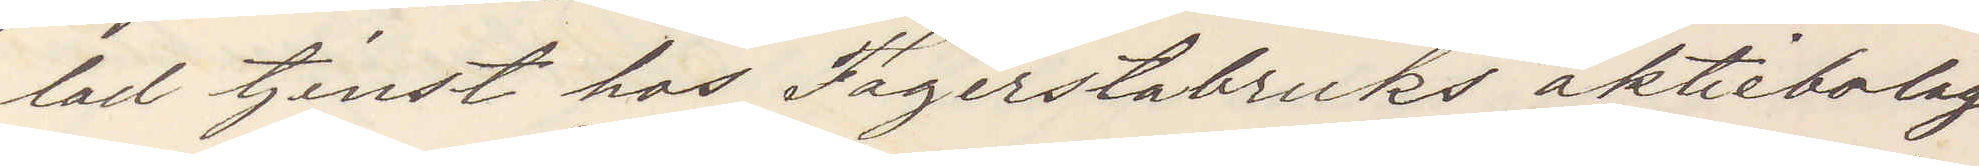lad tjenst hos Fagersta bruks aktiebolag
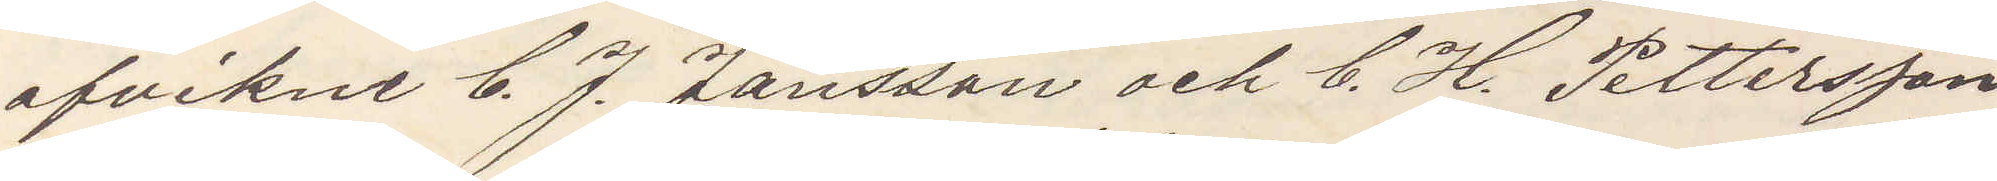afvikne C. J. Jansson och C. H. Pettersson
